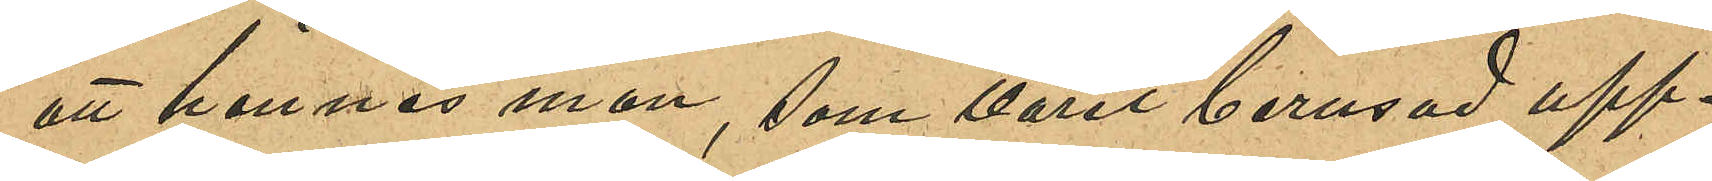att hennes man, som varit berusad upp¬
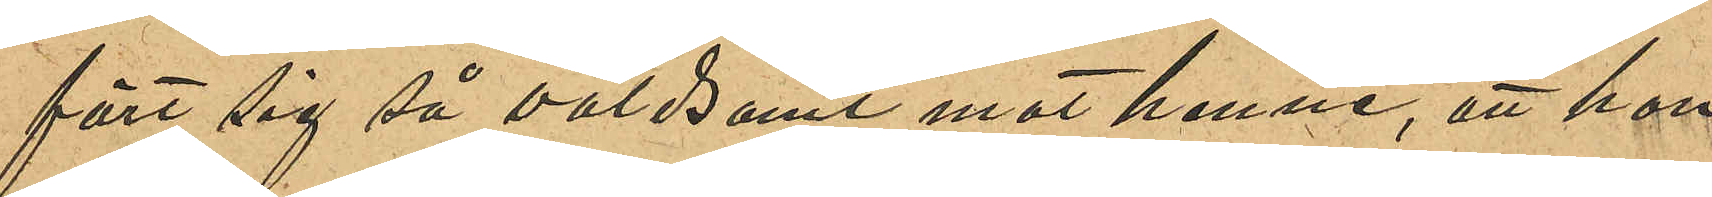fört sig så våldsamt mot henne, att hon
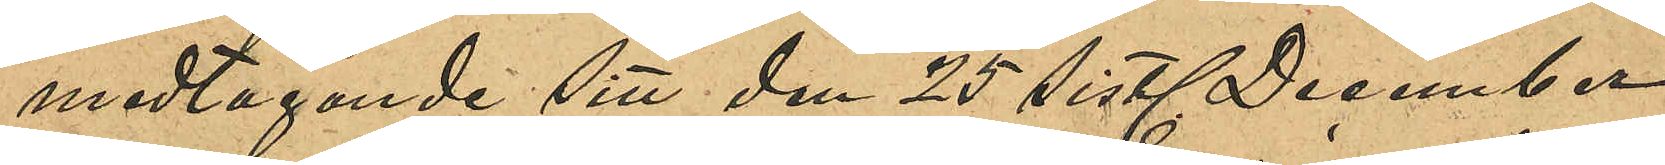medtagande sitt den 25 sist. December
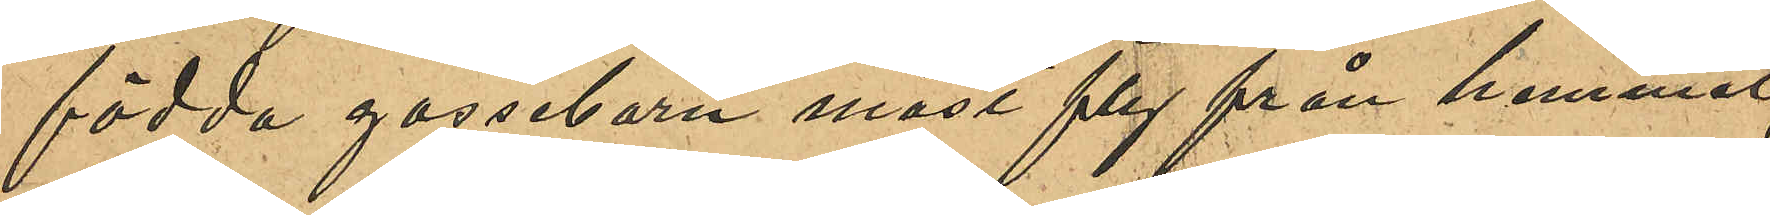födda gossebarn måst fly från hemmet,
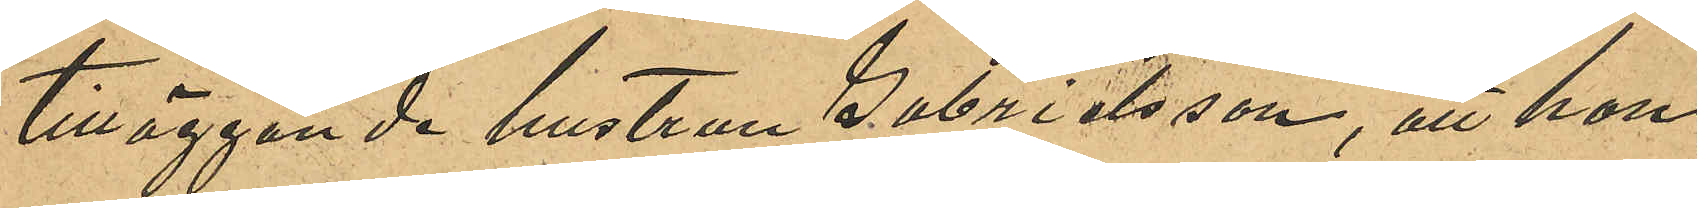tilläggande hustrun Gabrielsson, att hon,
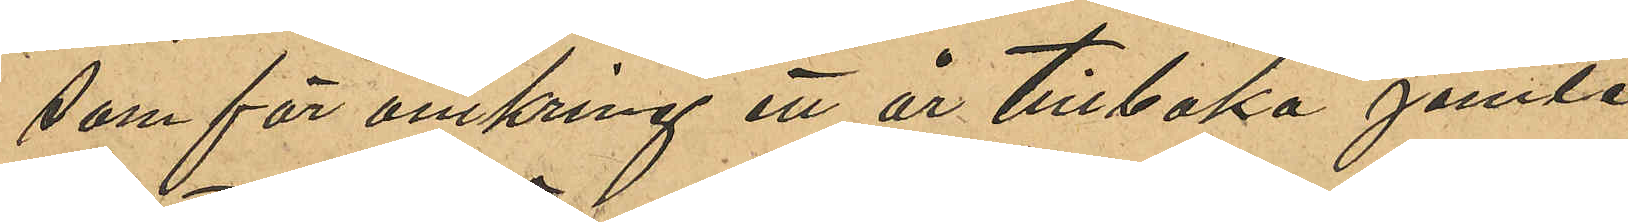som för omkring ett år tillbaka jemte
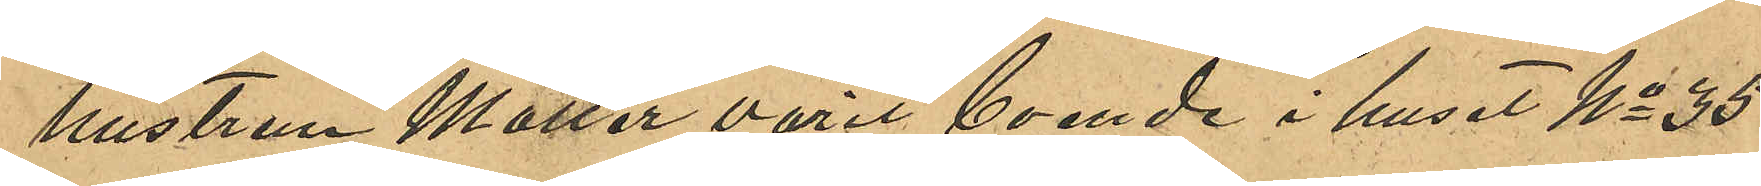hustrun Möller varit boende i huset No 35
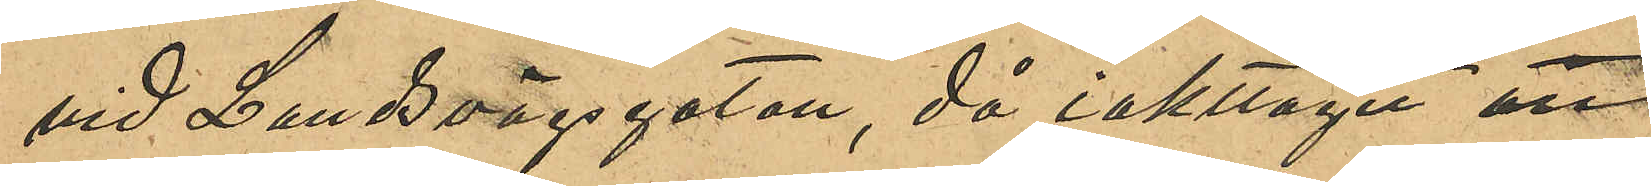vid Landsvägsgatan, då iakttagit att
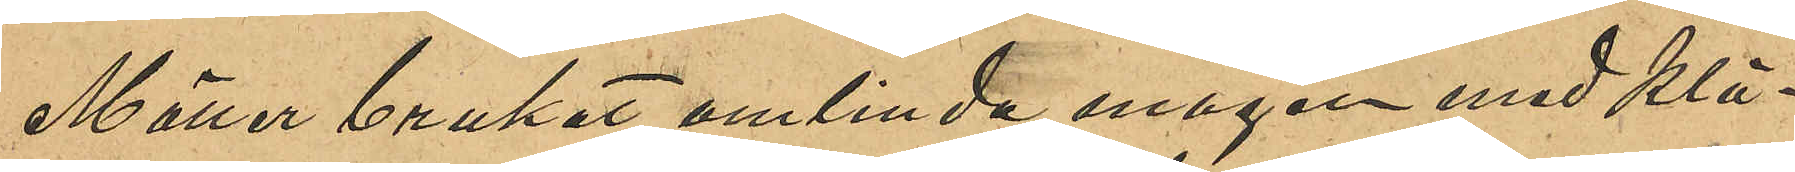Möller brukat omlinda magen med klä¬
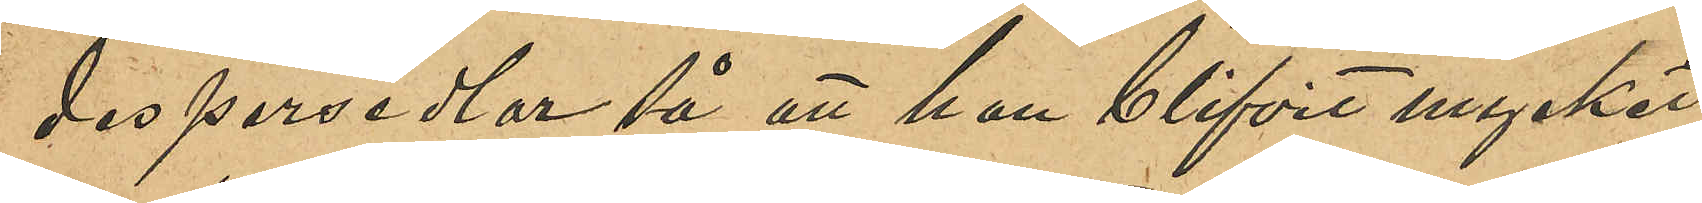despersedlar så att hon blifvit mycket
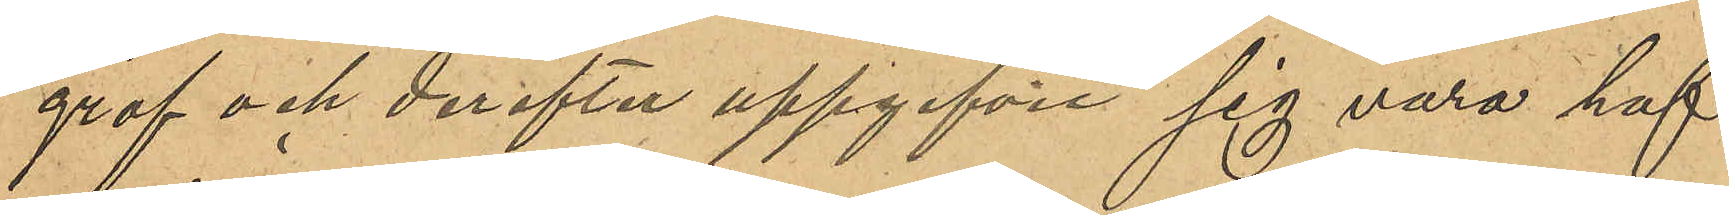grof och derefter uppgifvit sig vara haf¬
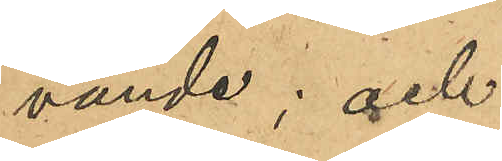vande; och
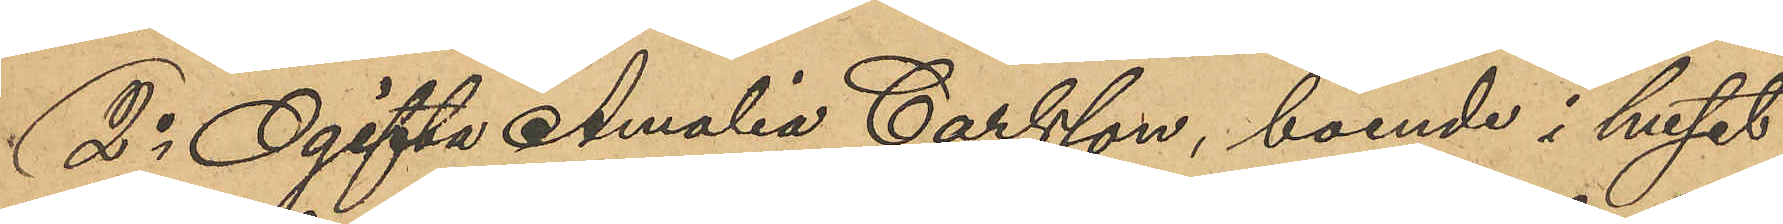2o Ogifta Amalia Carlsson, boende i huset
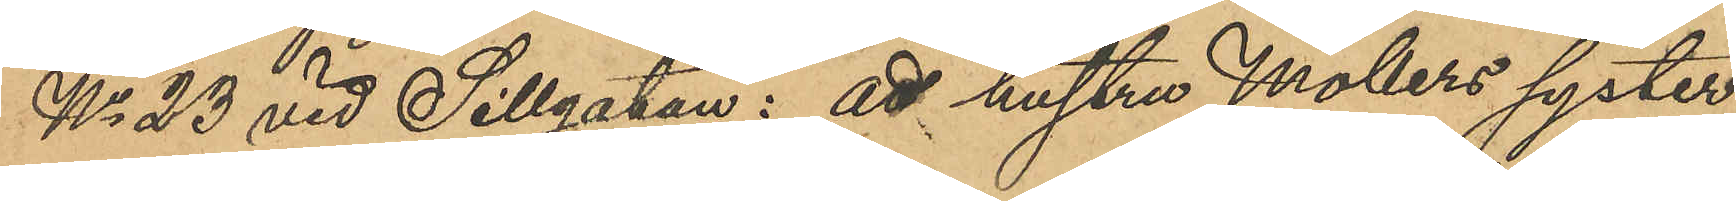No 23 vid Sillgatan: att hustu Möllers syster,
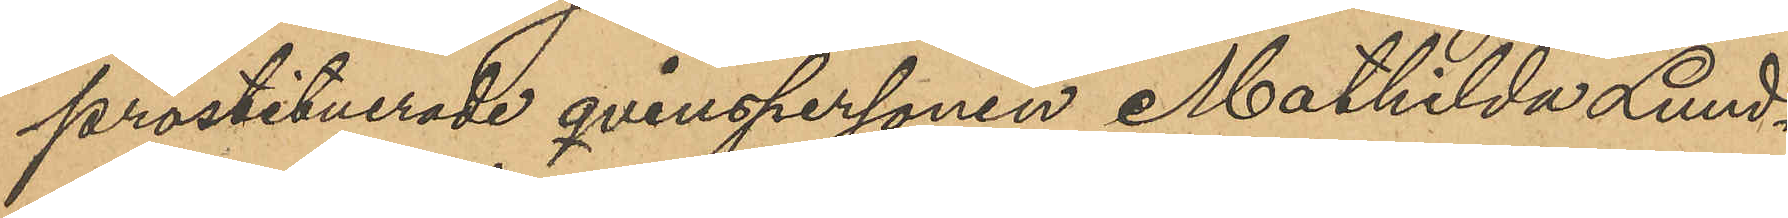prostituerade qvinspersonen Mathilda Lund¬
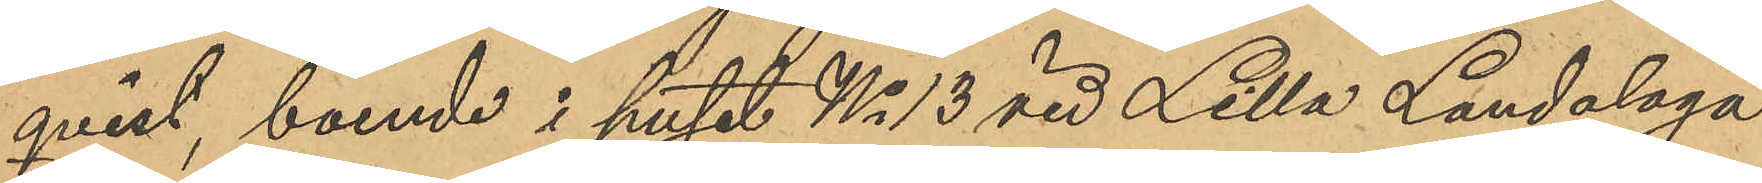qvist, boende i huset No 13 vid Lilla Landalaga¬
